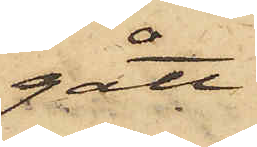gått.
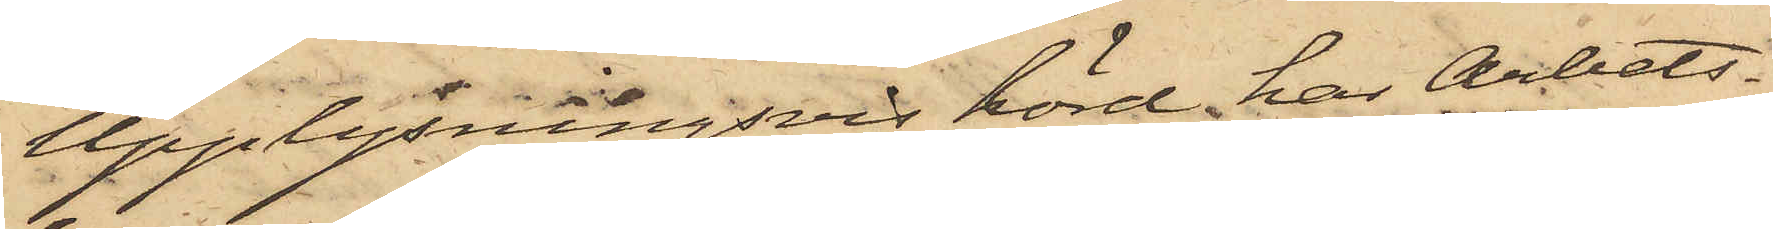Upplysningsvis hörd, har Arbets¬
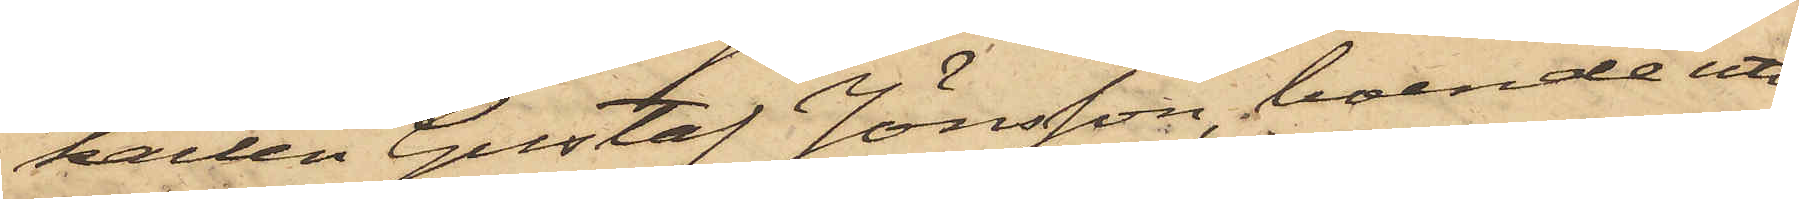karlen Gustaf Jönsson, boende uti
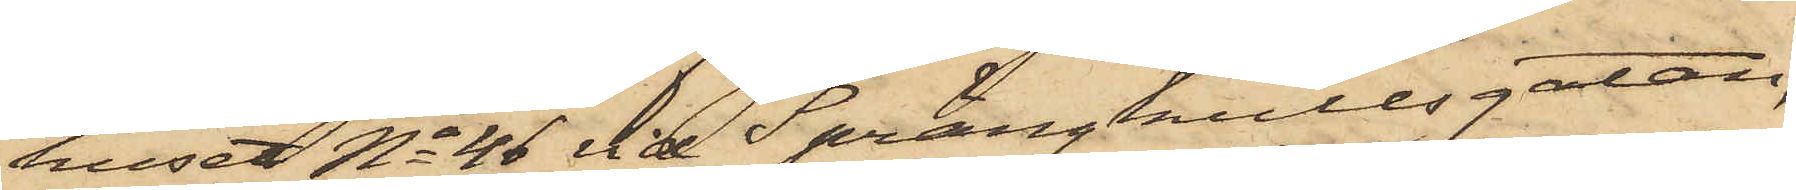huset No 46 vid Sprängkullsgatan,
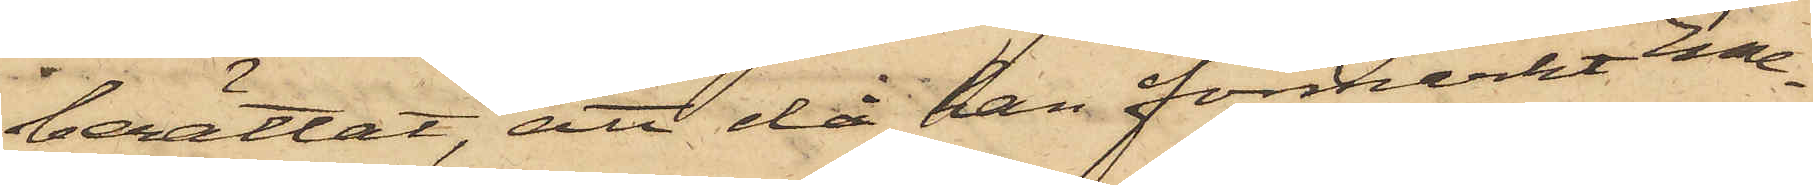berättat, att då han förmärkt Eme¬
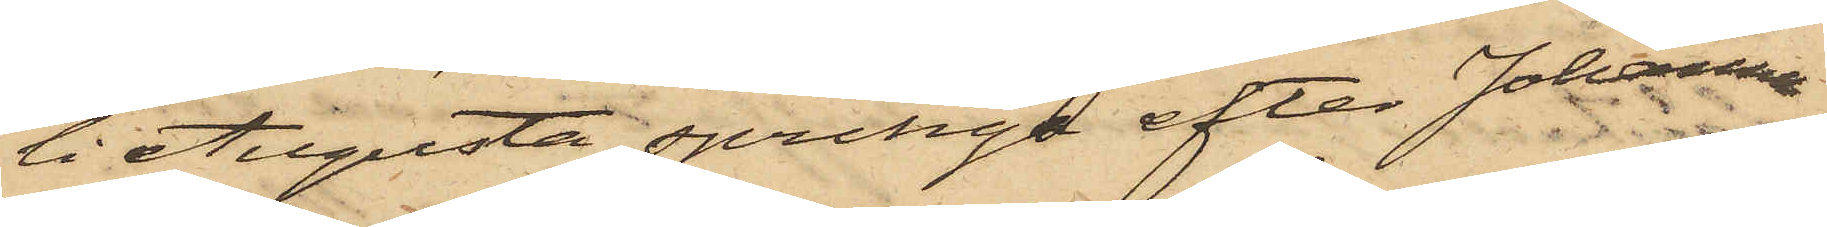li Augusta springa efter Johanna
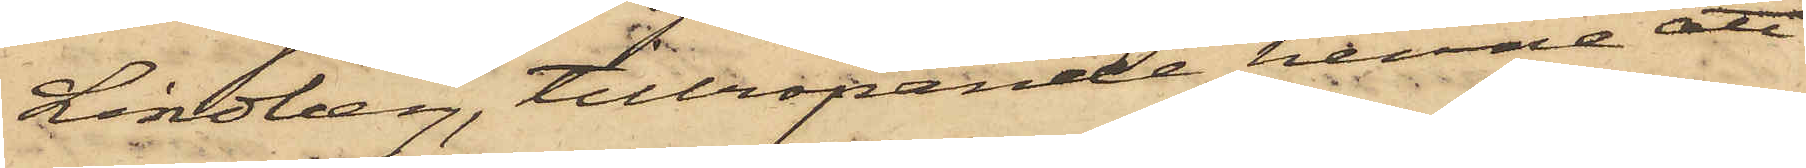Lindberg, tillropande henne att
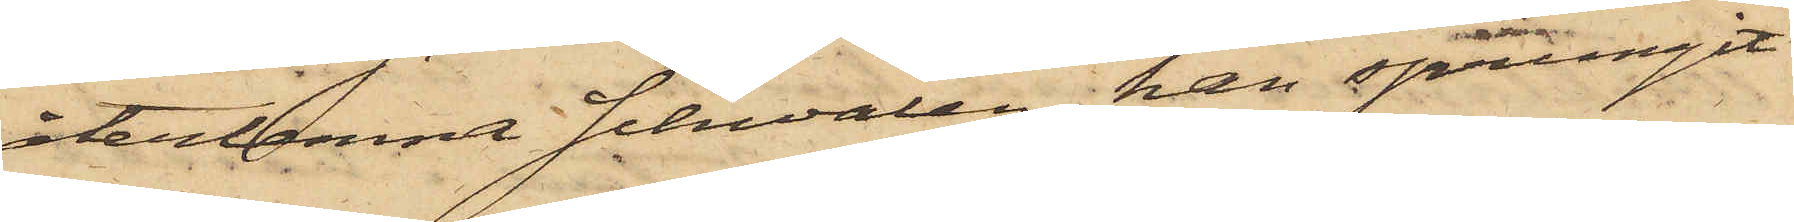återlemna schwalen, han sprungit
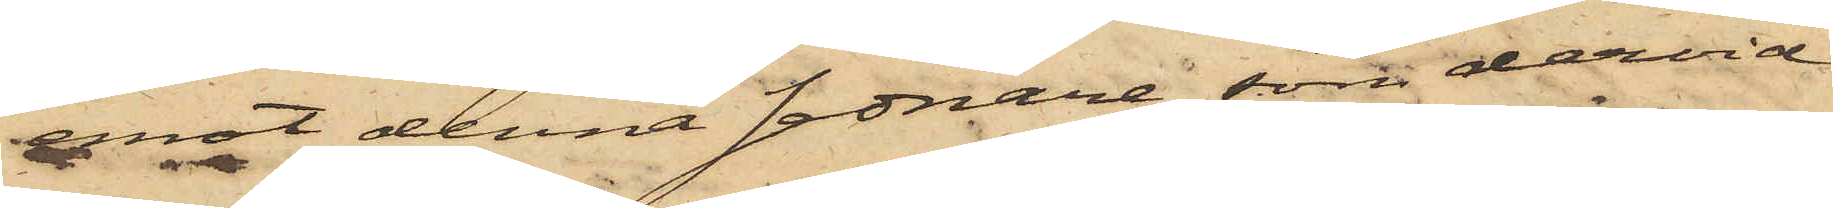emot denna sednare, som dervid
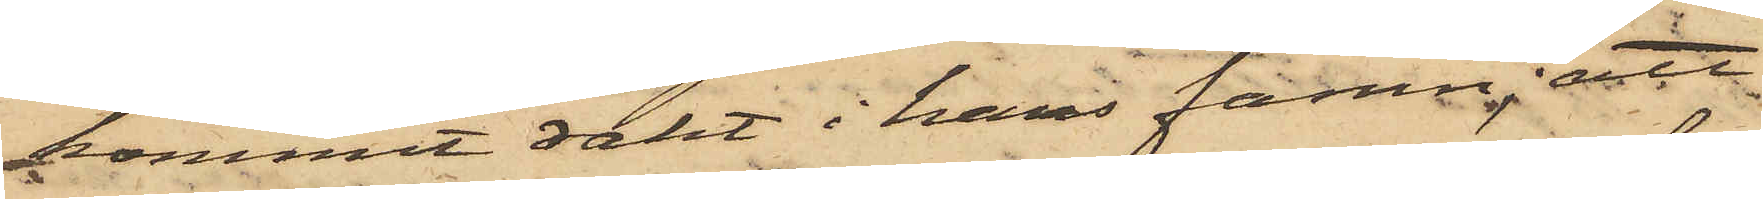kommit rakt i hans famn; att
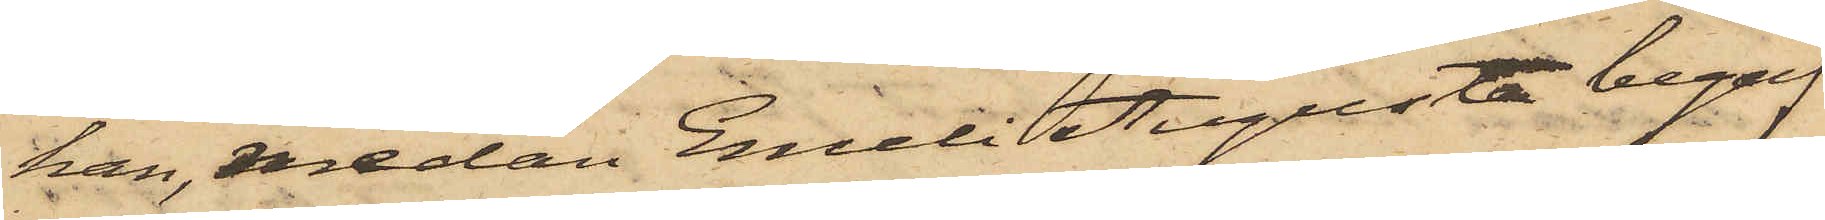han, medan Emeli Augusta begaf
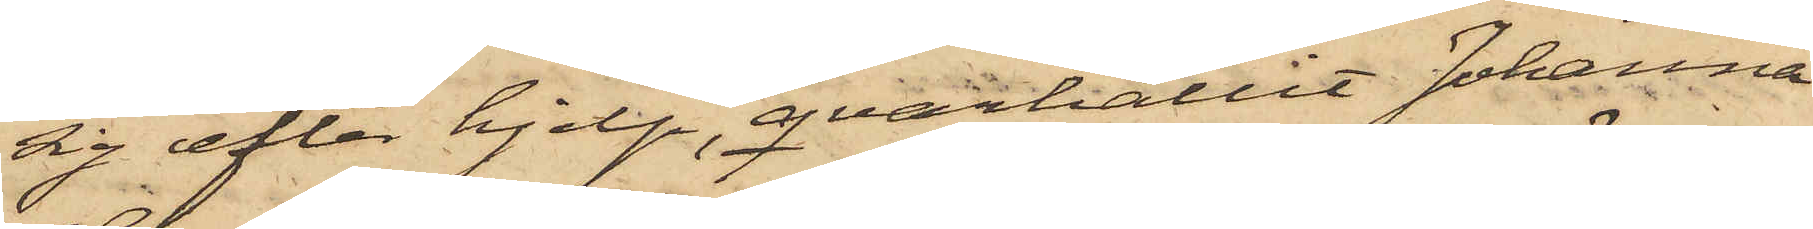sig efter hjelp, qvarhållit Johanna
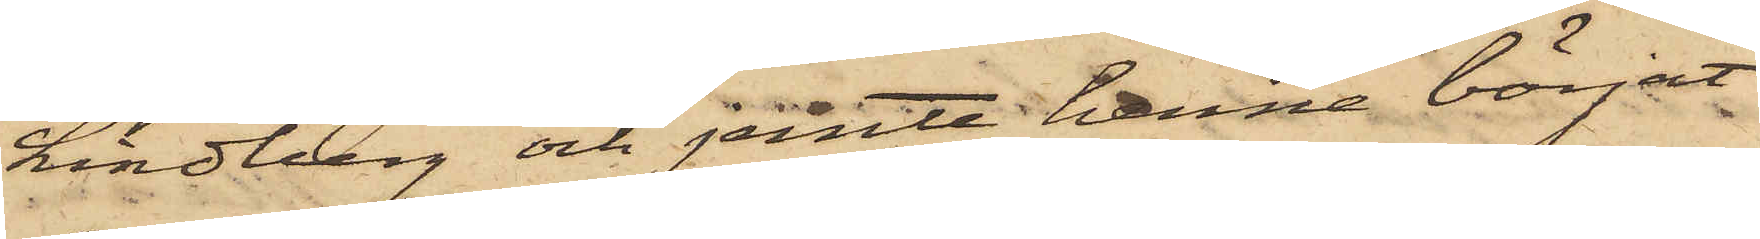Lindberg och jemte henne börjat
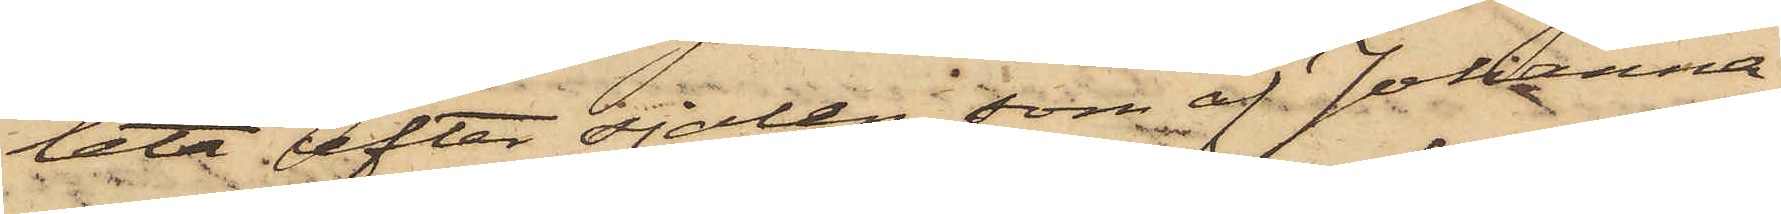leta efter sjalen, som af Johanna
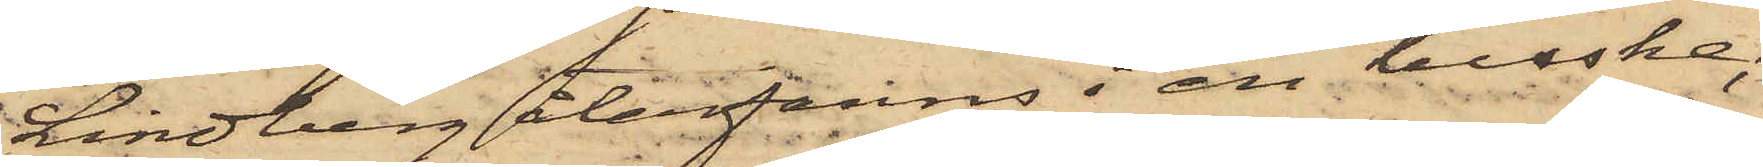Lindberg återfanns i en buske;
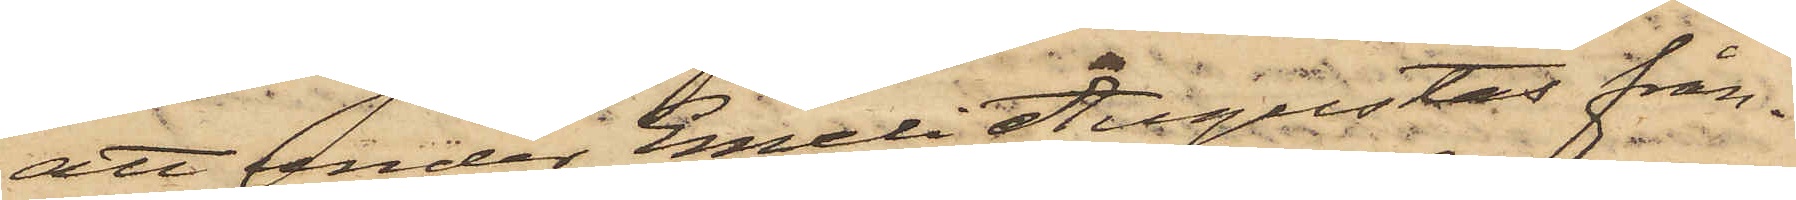att under Emeli Augustas från¬
